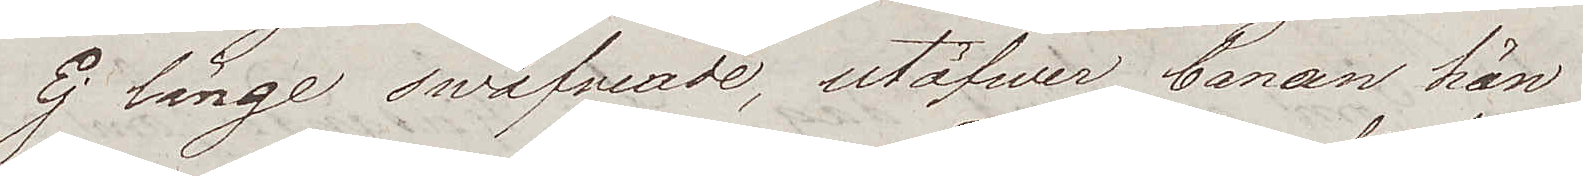Ej länge swäfwande, utöfwer banan hän
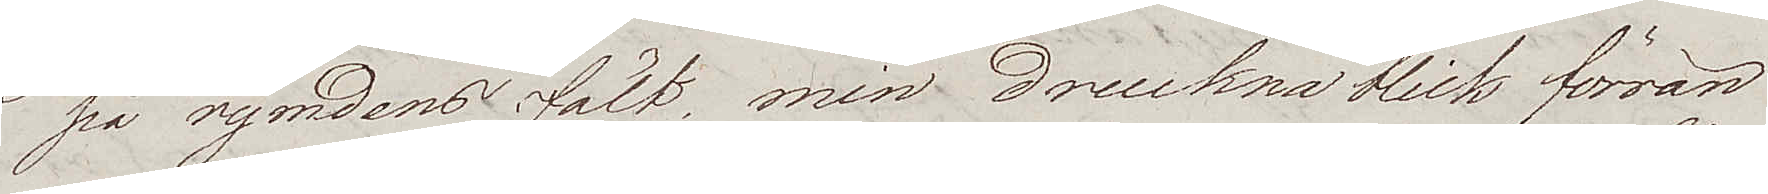på rymdens fält, min druckna blick förrän
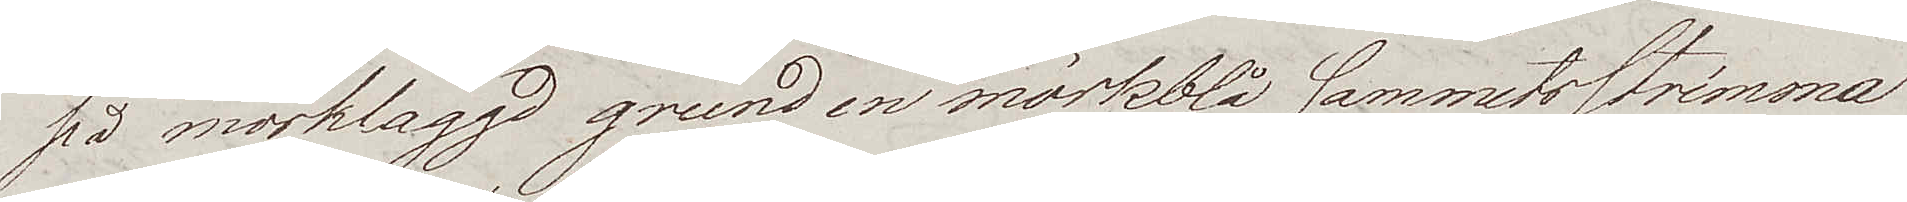på mörklaggd grund en mörkblå sammetsstrimma
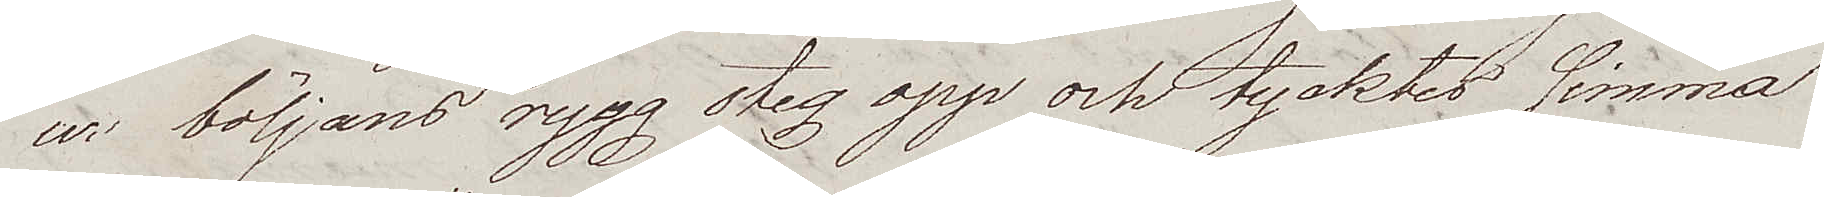ur böljans rygg steg opp och tycktes simma
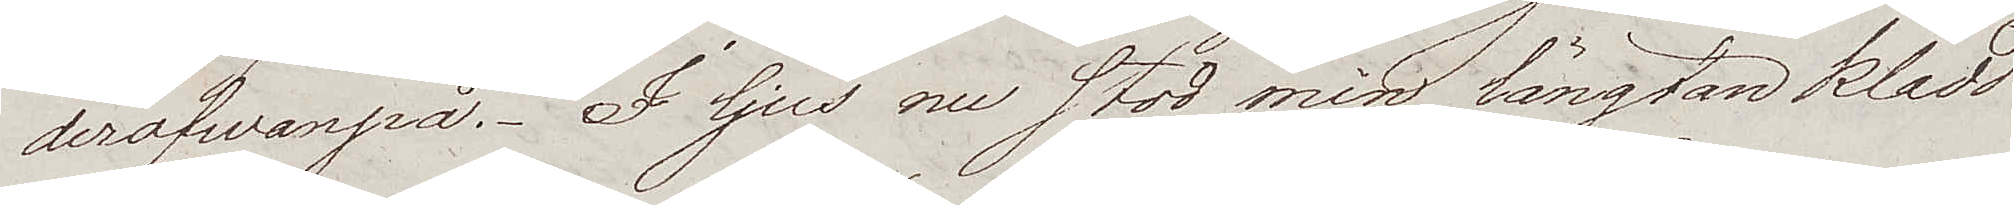derofwanpå. I ljus nu stod min längtan klädd
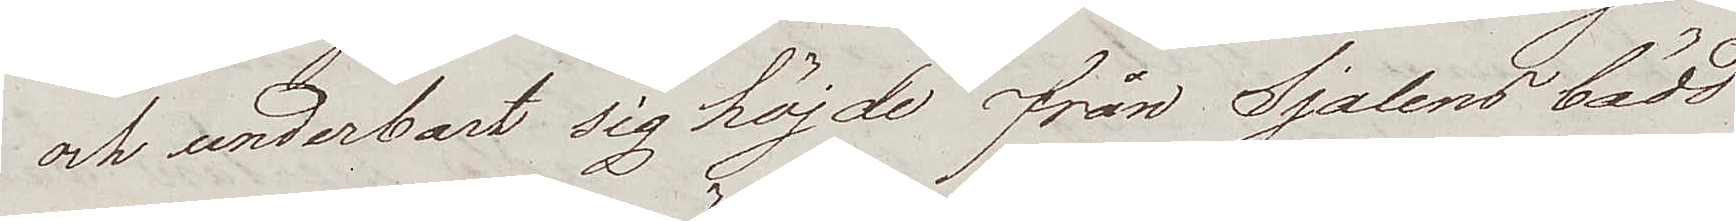och underbart sig höjde från Själens bädd
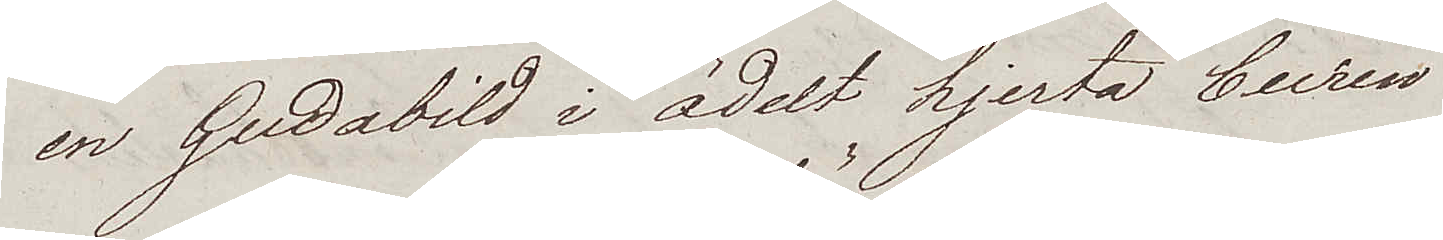en Gudabild i ädelt hjerta buren
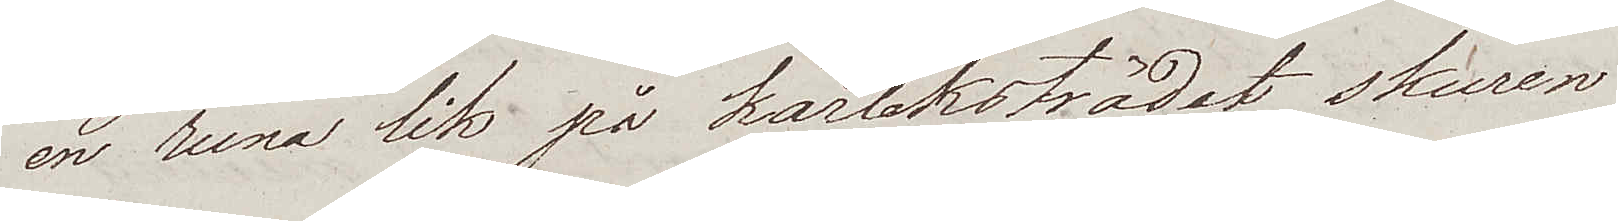en runa lik på kärleksträdet skuren
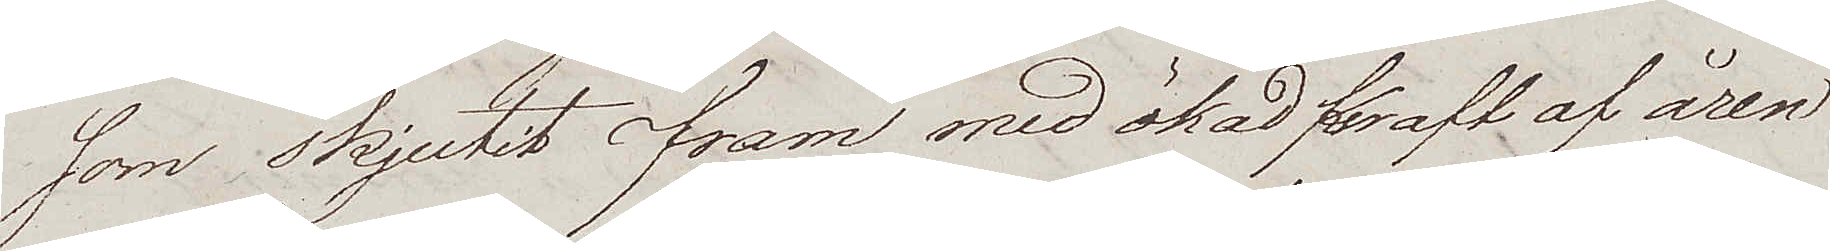som skjutit fram med ökad kraft af åren
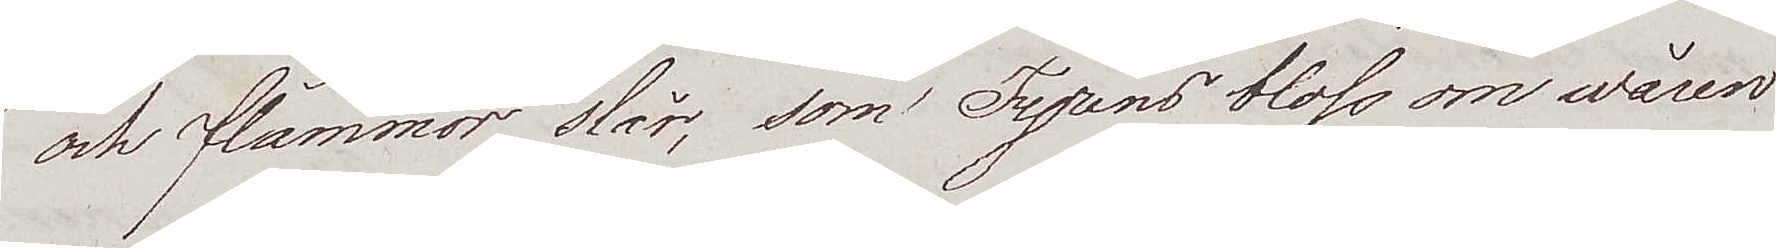och flammor slår, som Fyrens bloss om wåren
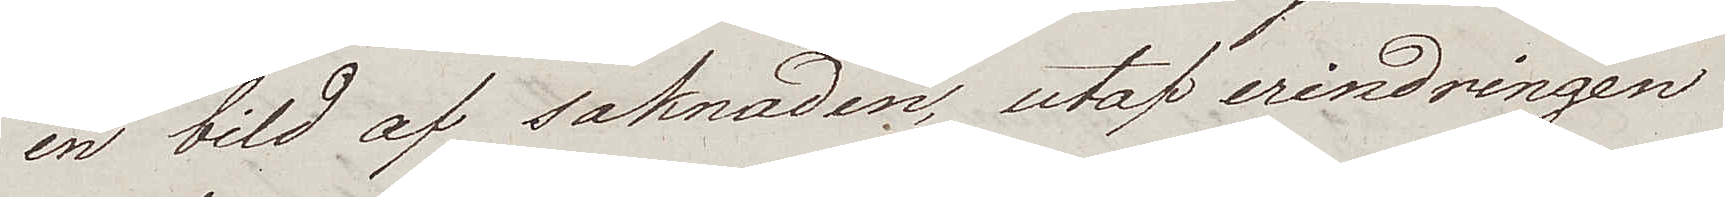en bild af saknaden, utaf erindringen
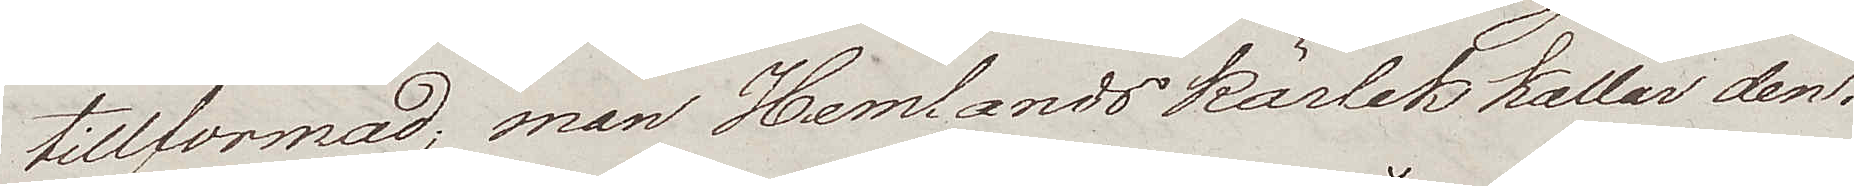tillformad; man Hemlandskärlek kallar den.
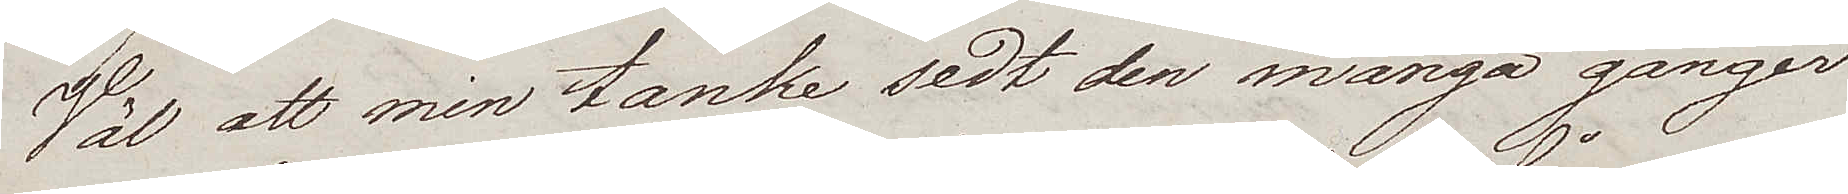Vål att min tanke sedt den många gånger
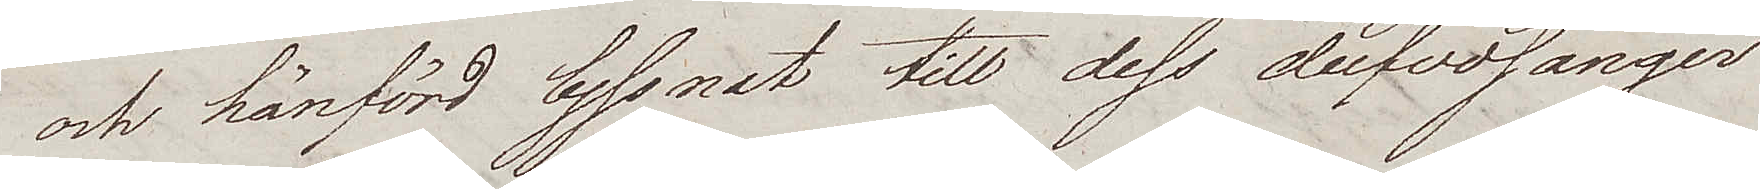och hänförd lyssnat till dess dufvosånger
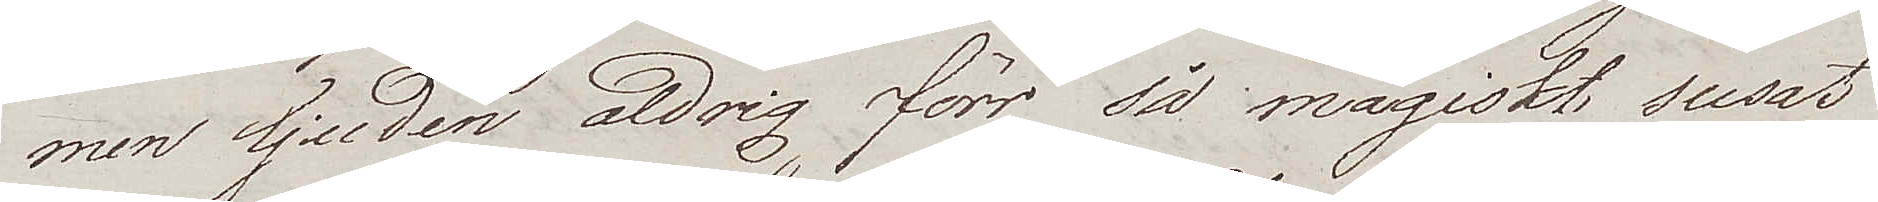men ljuden aldrig förr så magiskt susat
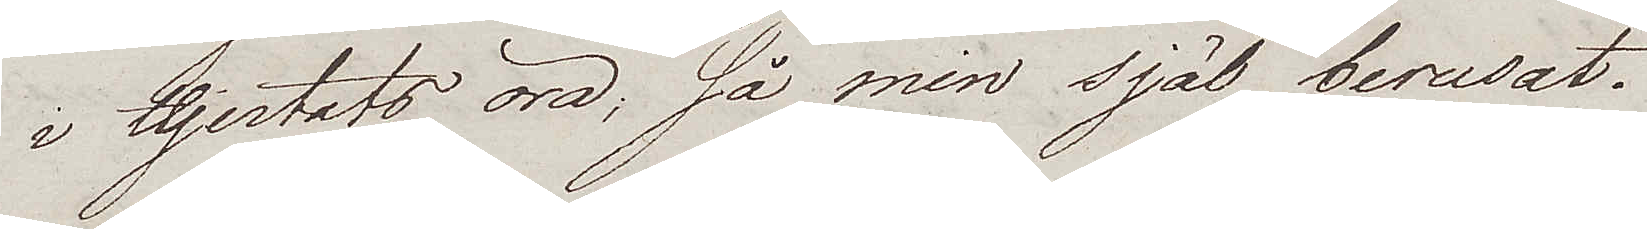i Hjertats öra, så min själ berusat.
